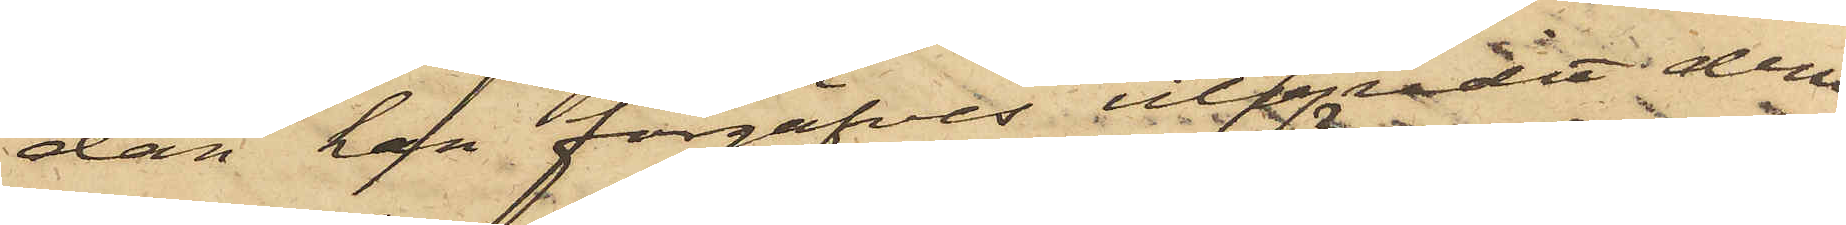dan han förgäfves utbjudit dem
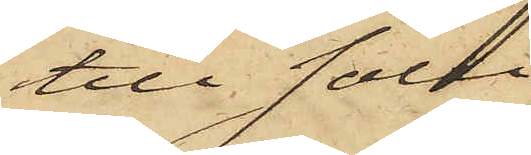till salu,
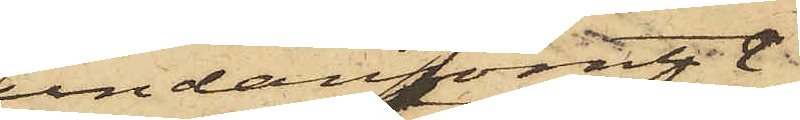undangömt
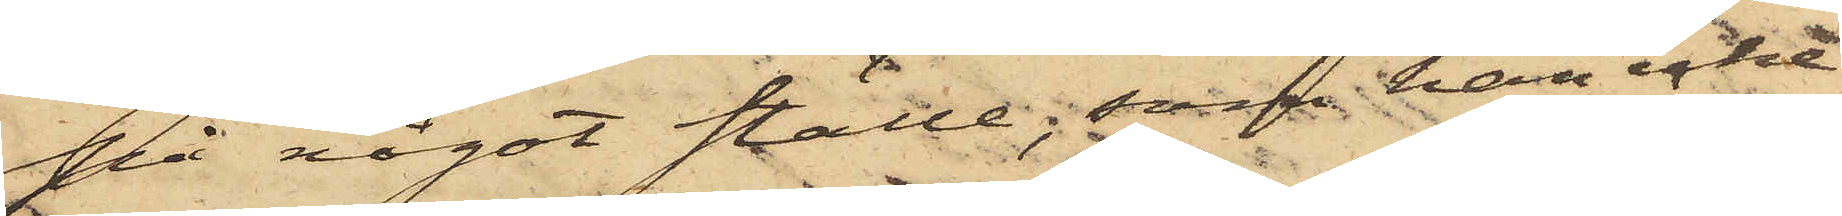på något ställe; som han icke
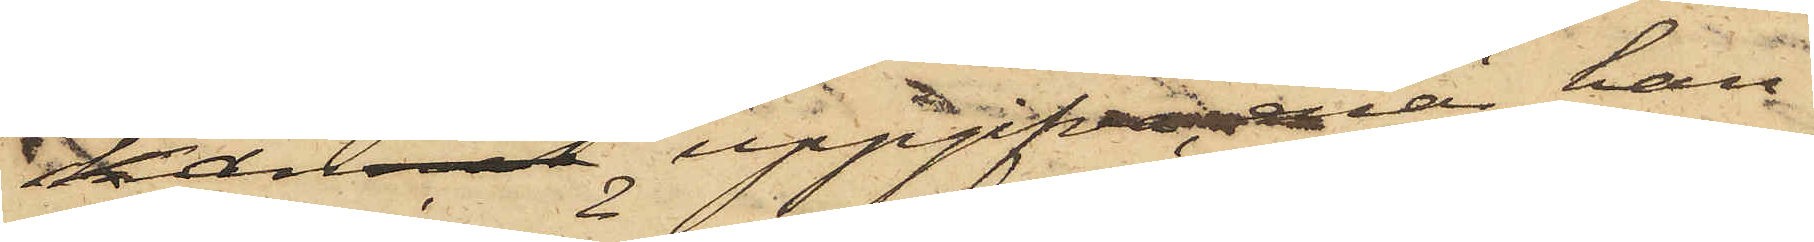kannat uppgifva, enär han
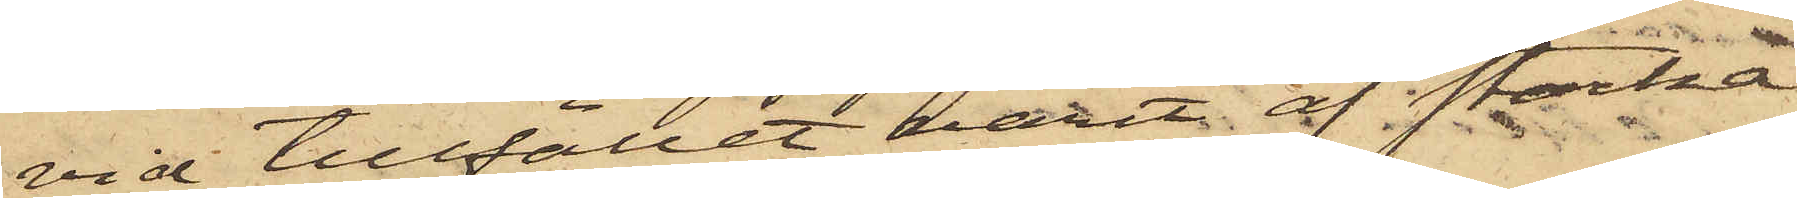vid tillfället varit af starka
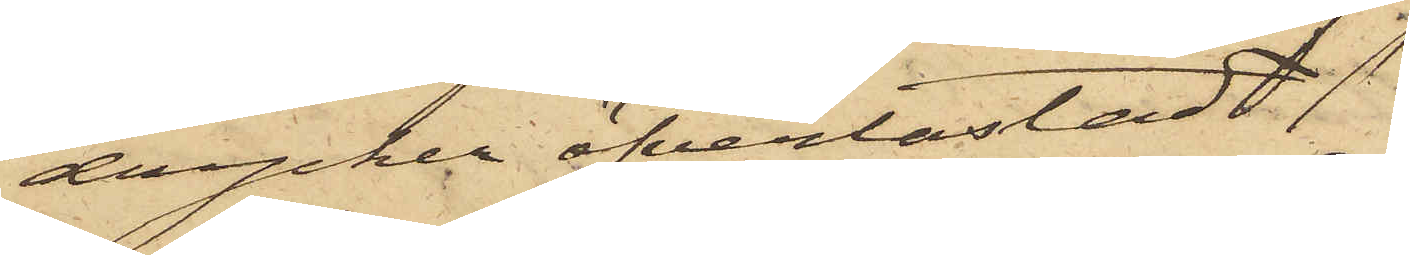drycker öfverlastad
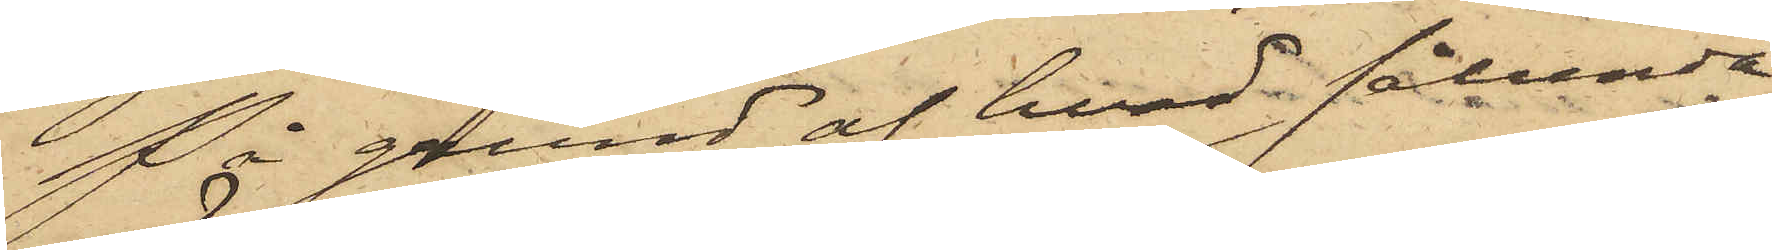På grund af hvad sålunda
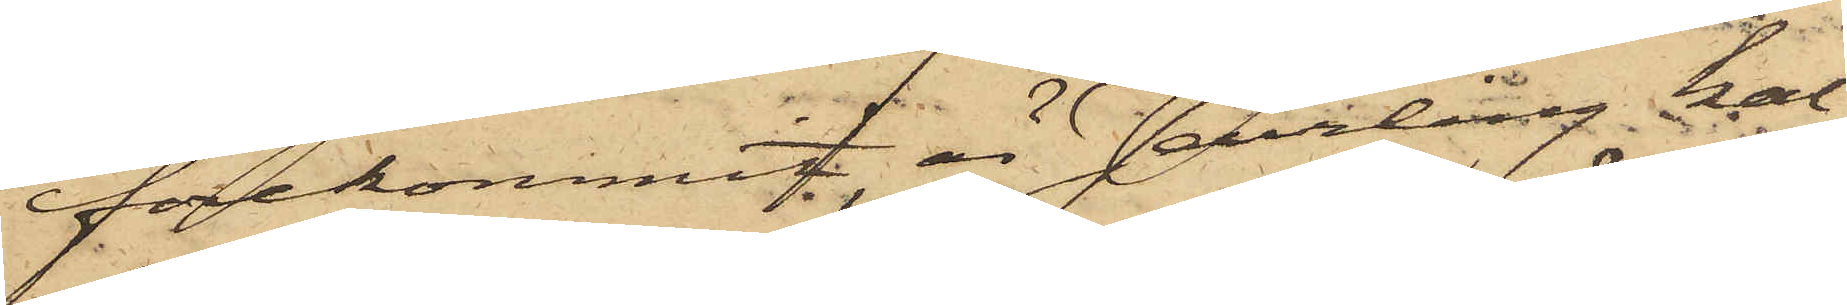förekommit är Jeurling kal¬
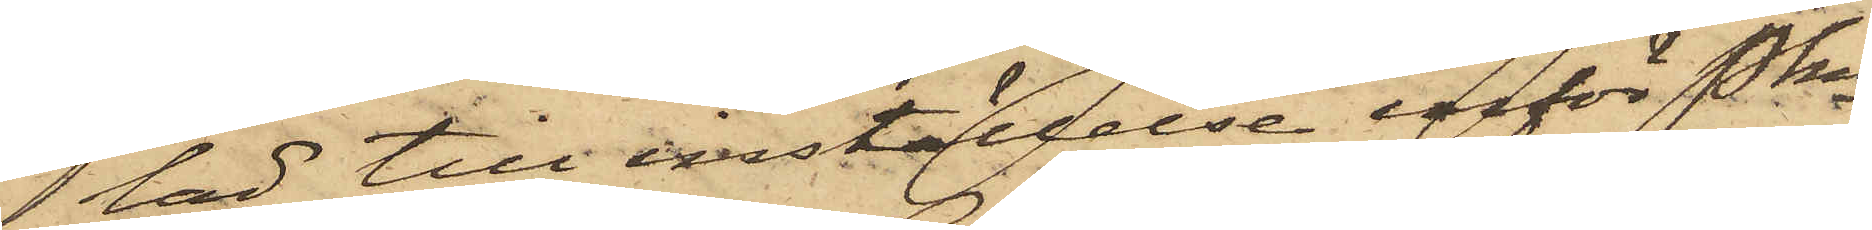lad till inställelse inför Pkn
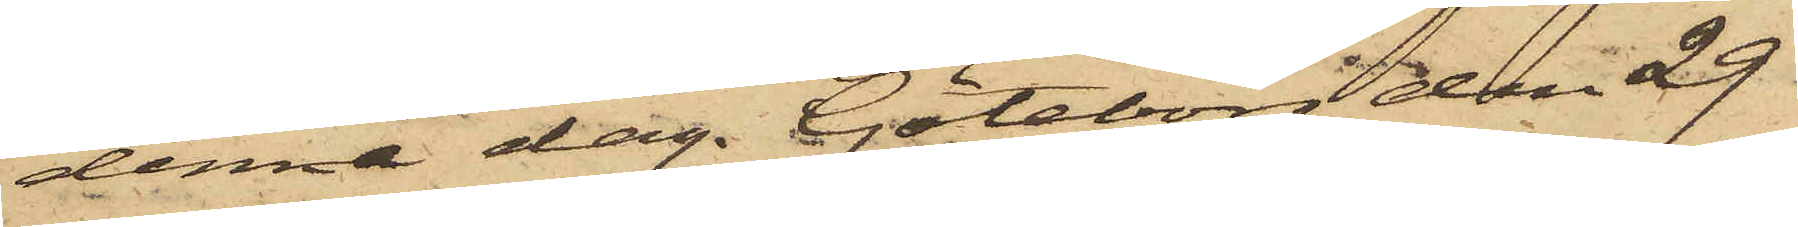denna dag. Göteborg den 29
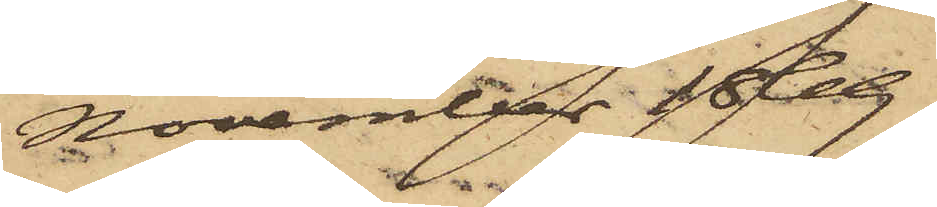November 1869.
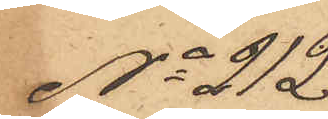No 212
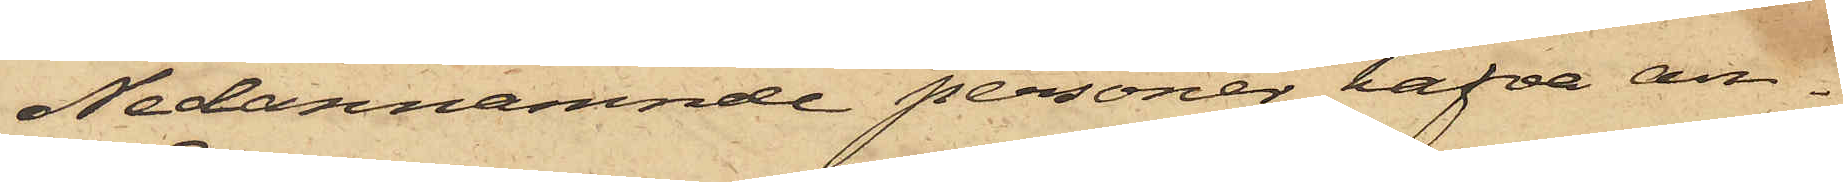Nedannämnde personer hafva an¬
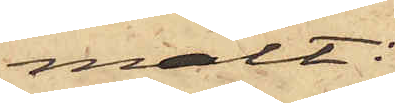mält:
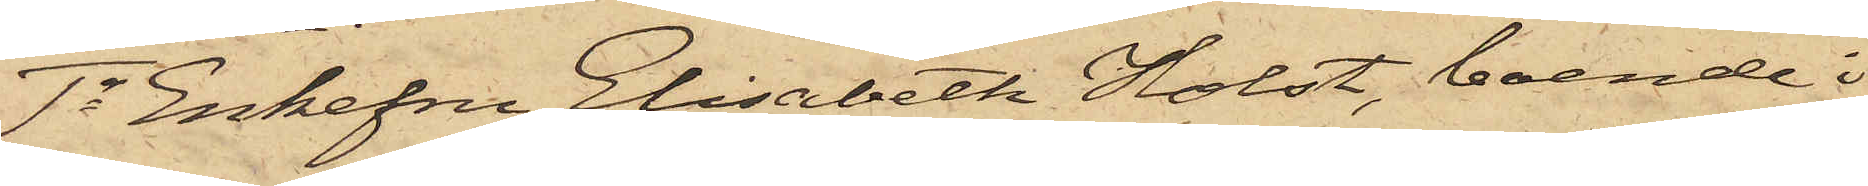1o Enkefru Elisabeth Holst, boende i
